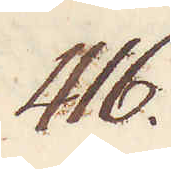416.
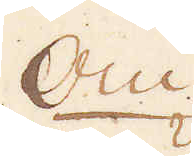Om
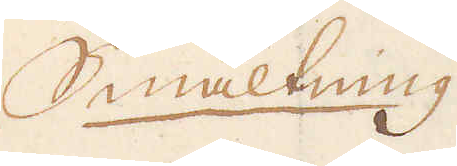Smältning
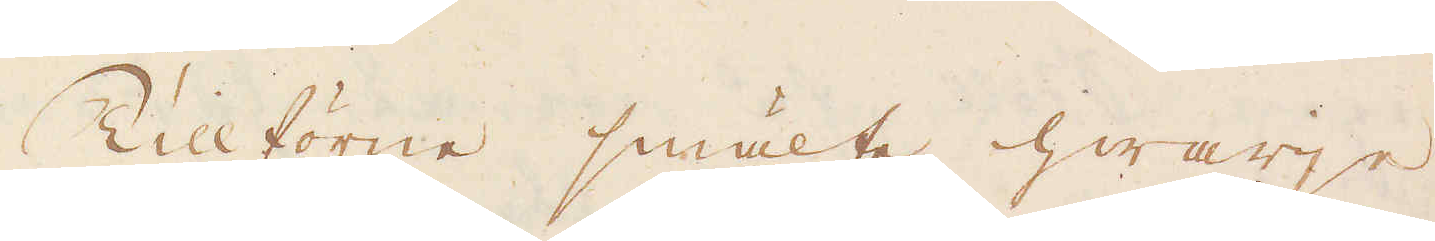Tillförne smälte hwarje
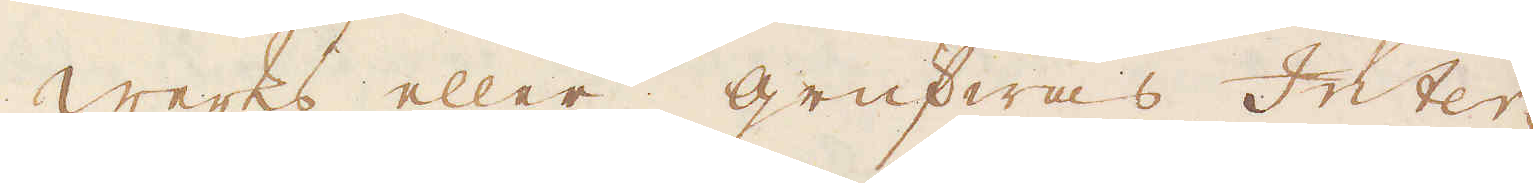Werks eller grufwas Inter-
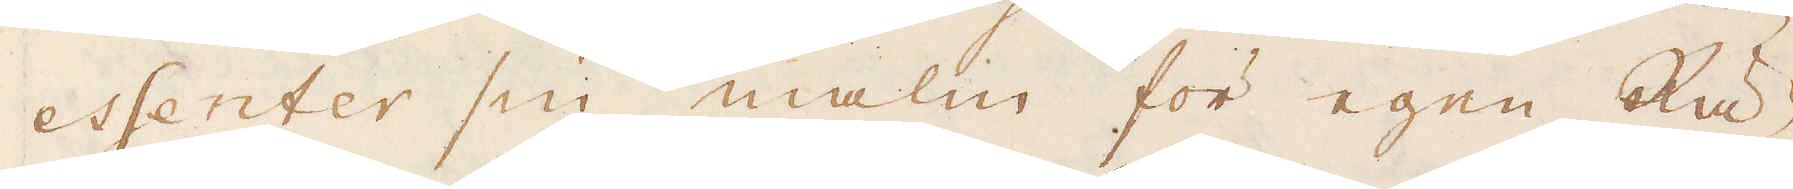essenter sin malm för egen Rä-
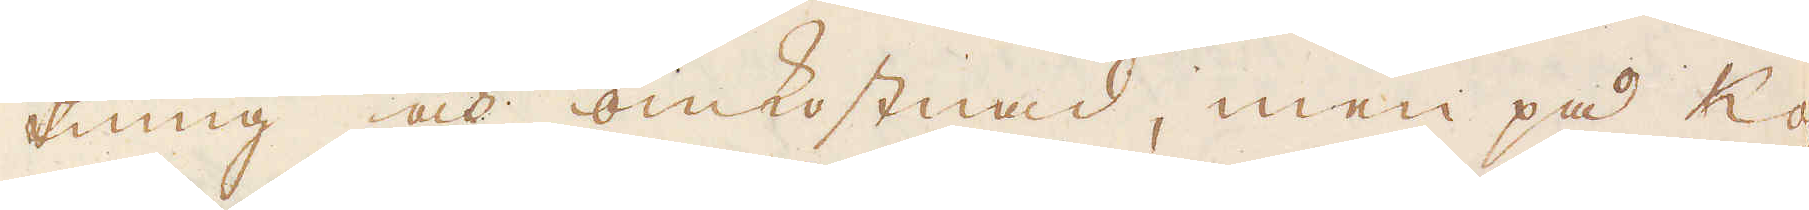kning och omkostnad, men på Ko-
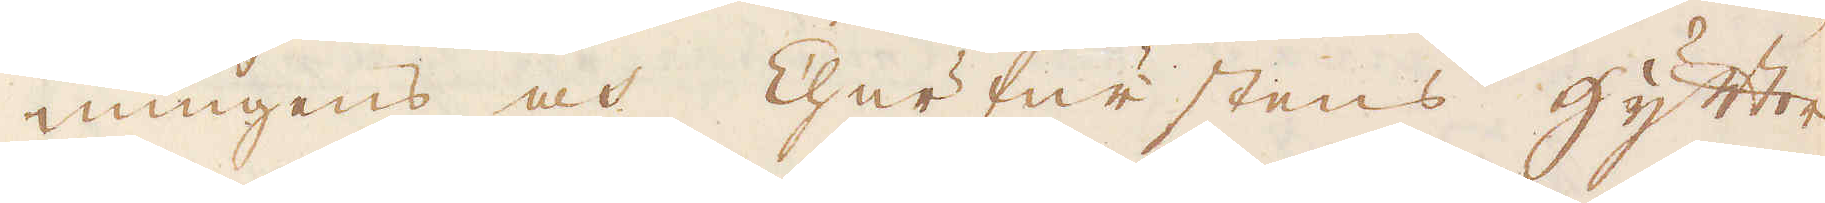nungens och Churfurstens hytter
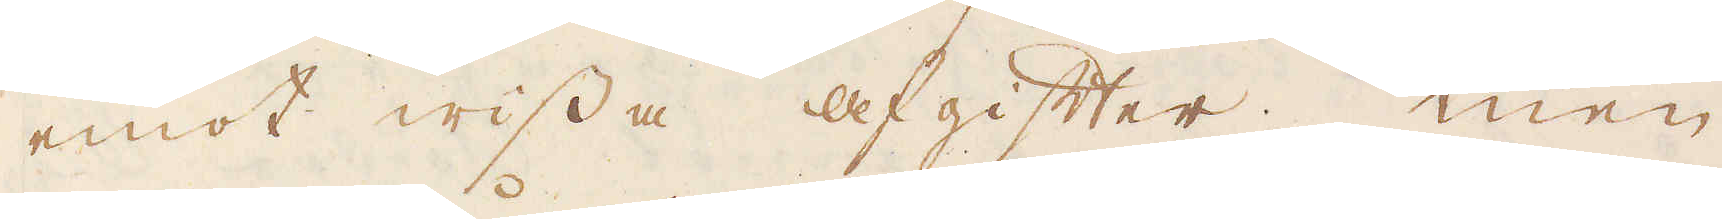emot wissa afgifter. Men
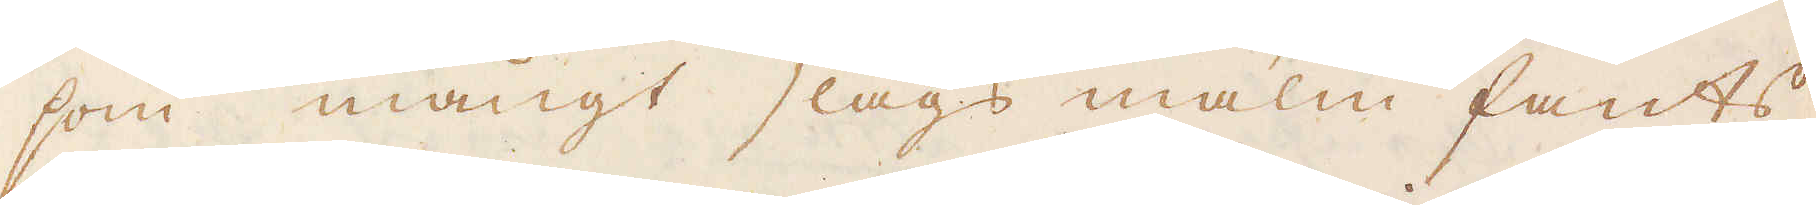som mångt slags malm fants,
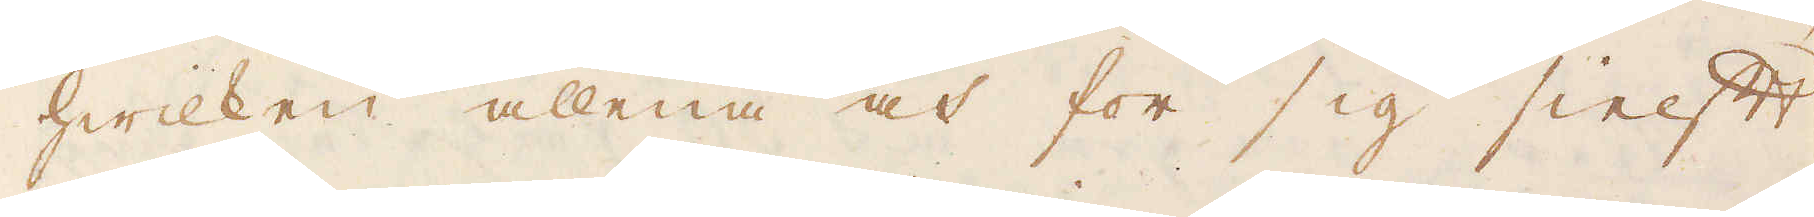hwilken allena och för sig sielft
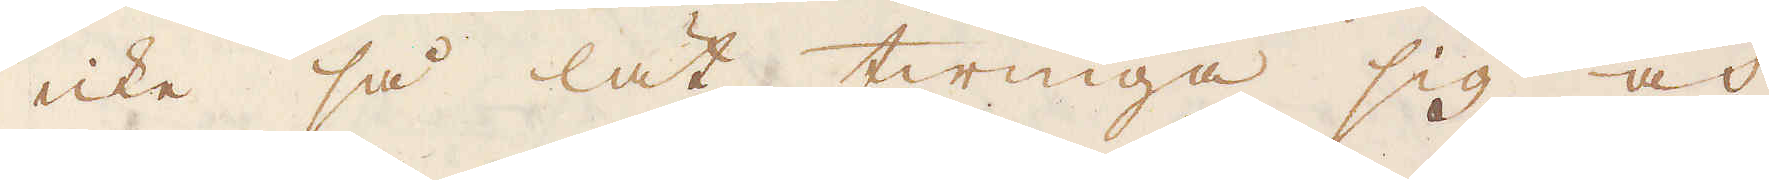icke så lät twinga sig och
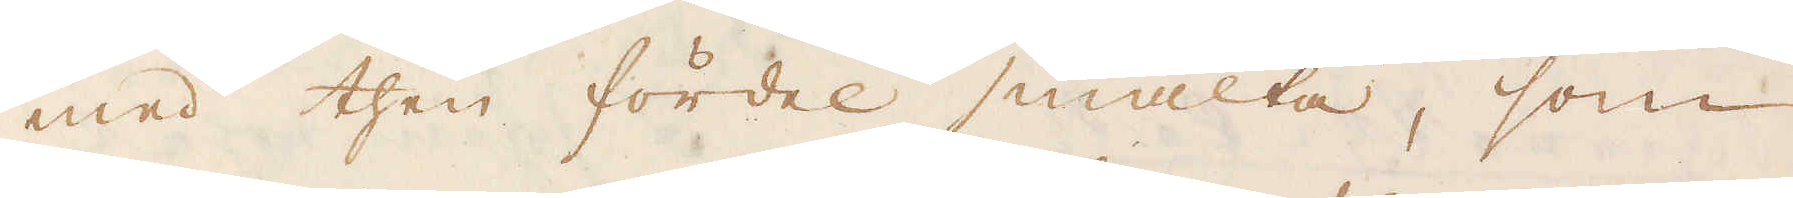med then fördel smälta, som
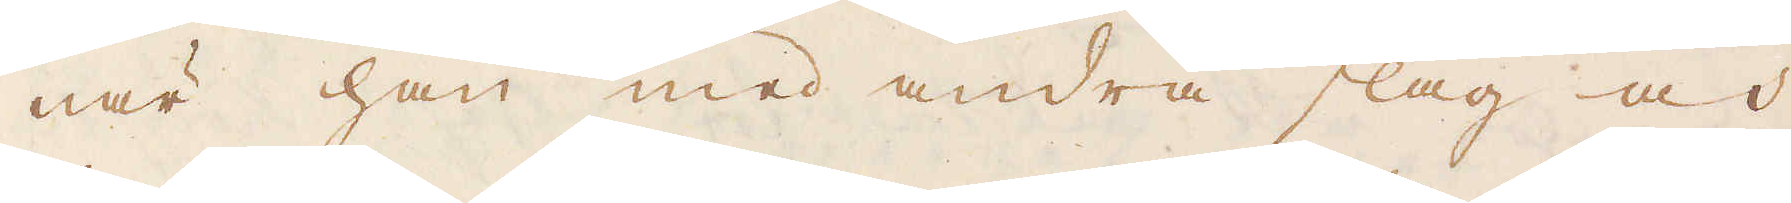när han med andra slag och
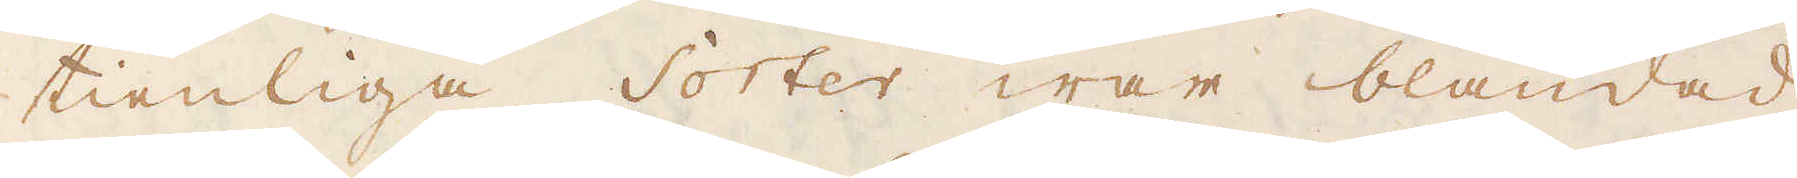tienliga Sorter war blandad
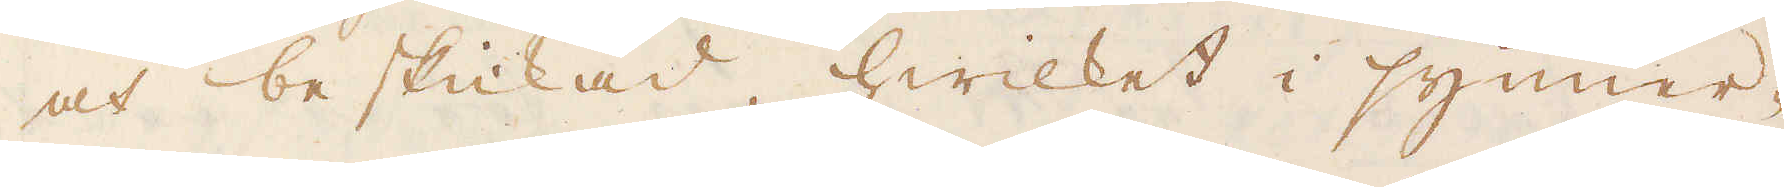och beskickad, hwilket i synner-
